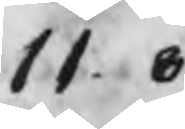11.8.
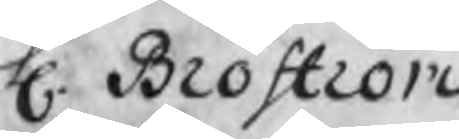H. Broström
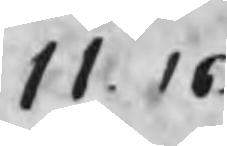11.16.
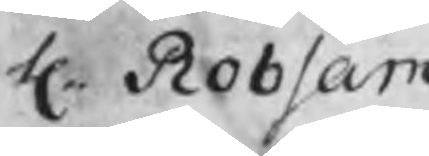H. Robsam
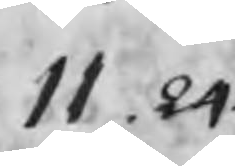11.24.
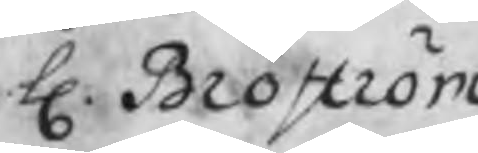H. Broström
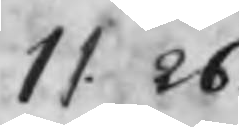11.26.
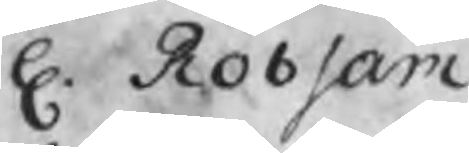H. Robsam
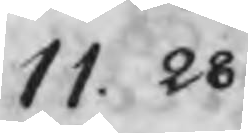11.28
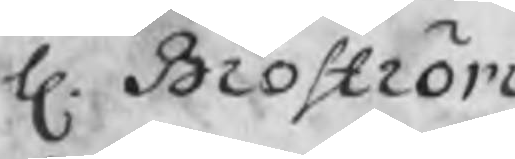H. Broström
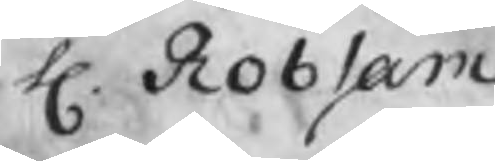H. Robsam
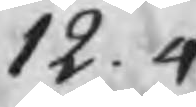12. 4
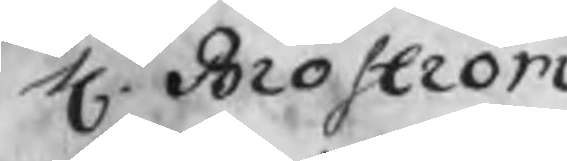H. Broström
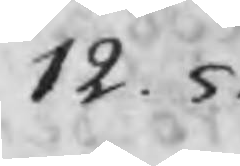12. 5.
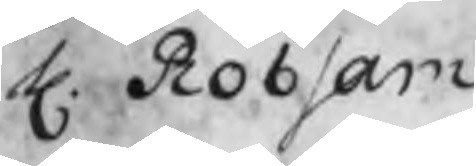H. Robsam
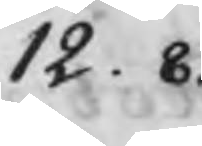12. 8.
